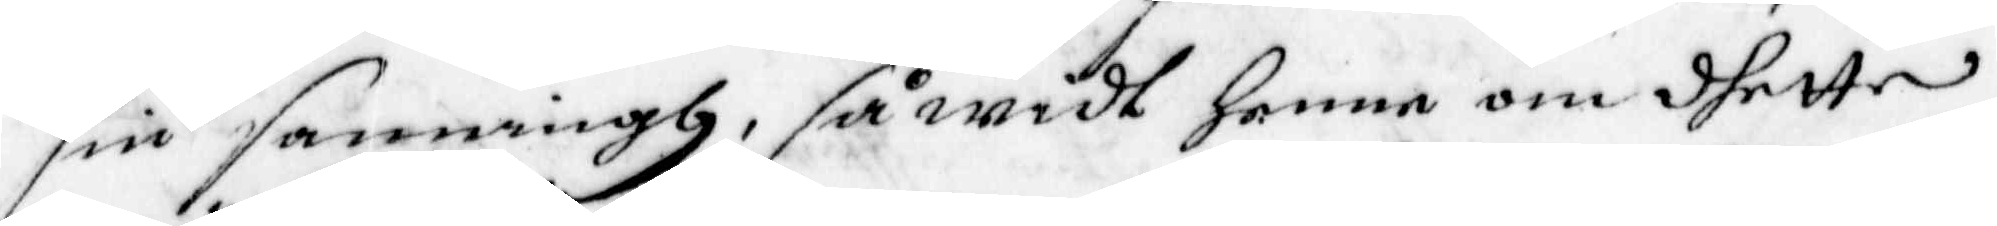sin sanningh, så widt henne om dhette
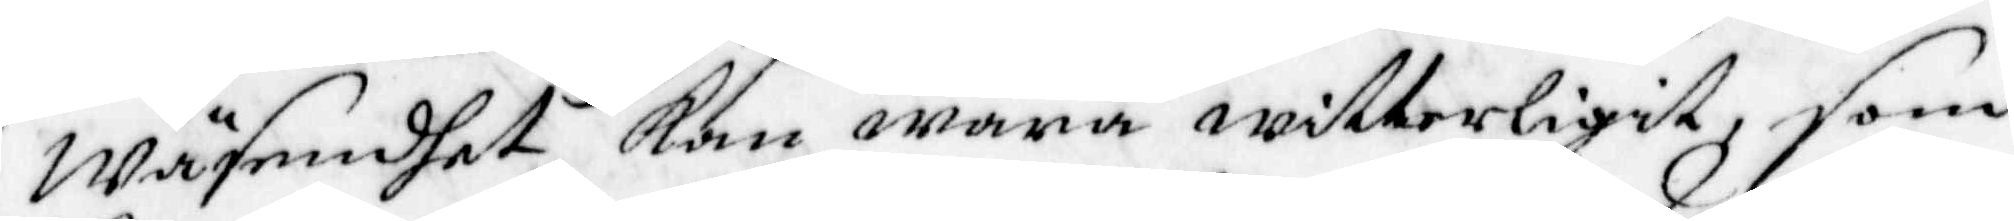Wäsendet kan wara witterligit, som
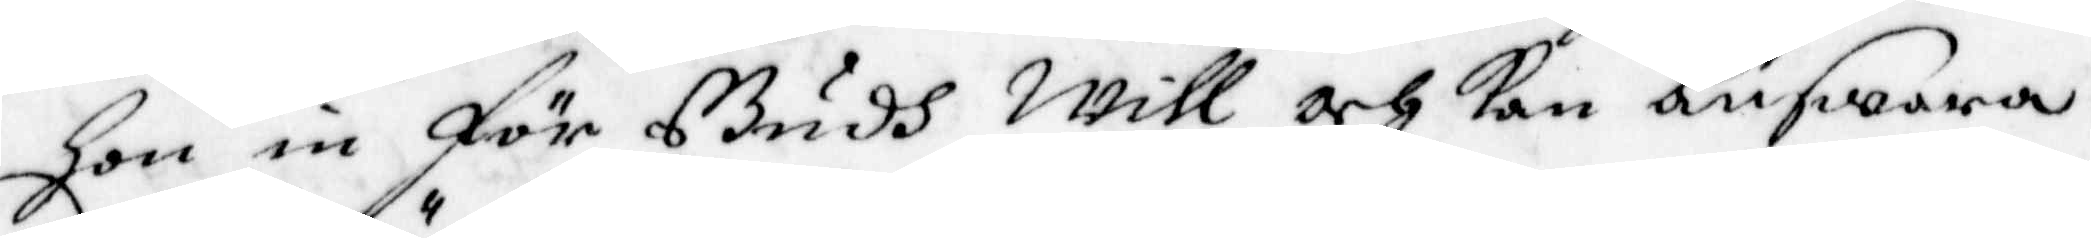hon in för Gudh Will och kan Answara.
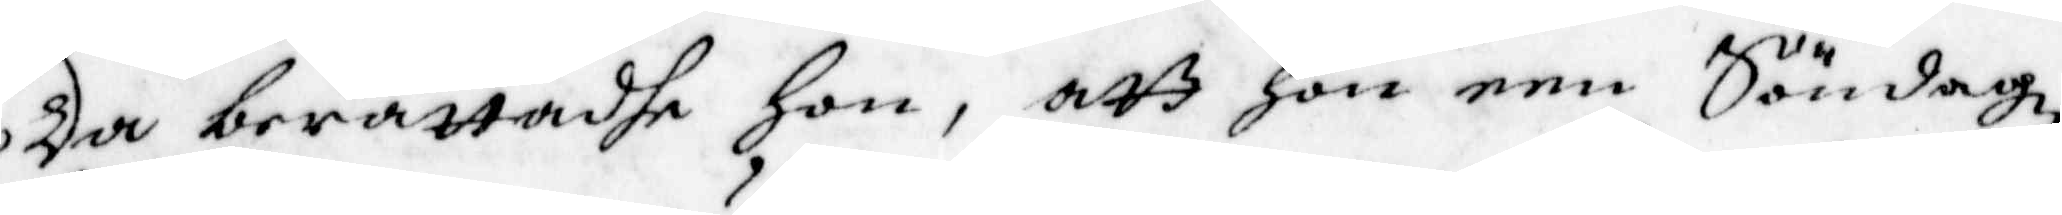Da berättadhe Hon, att hon een Söndagz
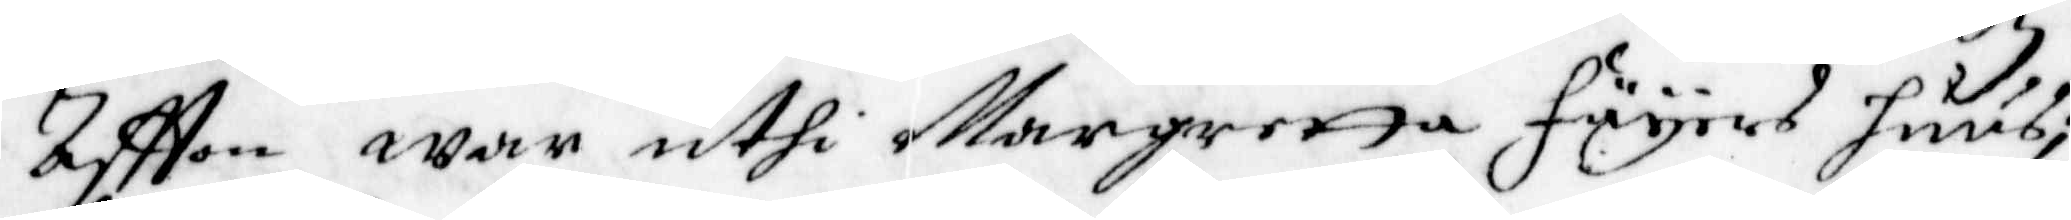Aftton war uthi Margretta Fäyers huus;
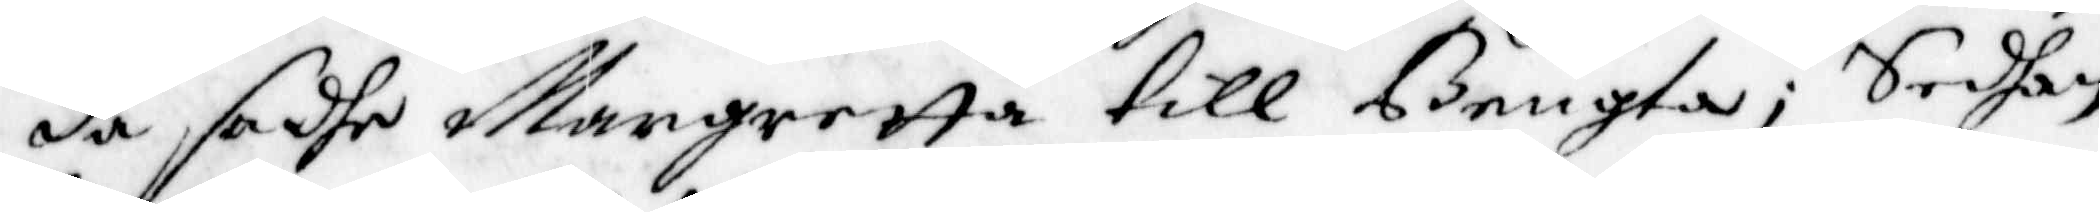da, sadhe Margretta till Bengta; Sedan
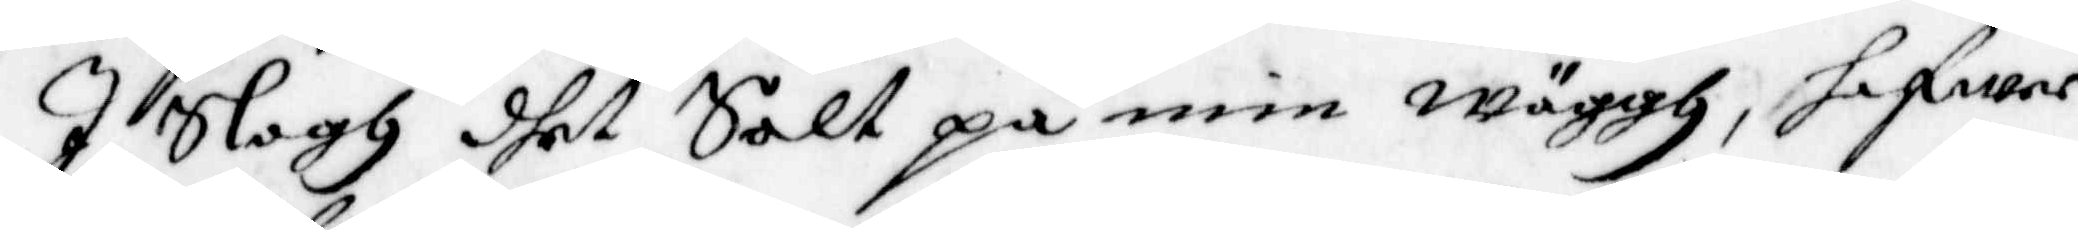I slogh dhet Salt på min wäggh, hafwer
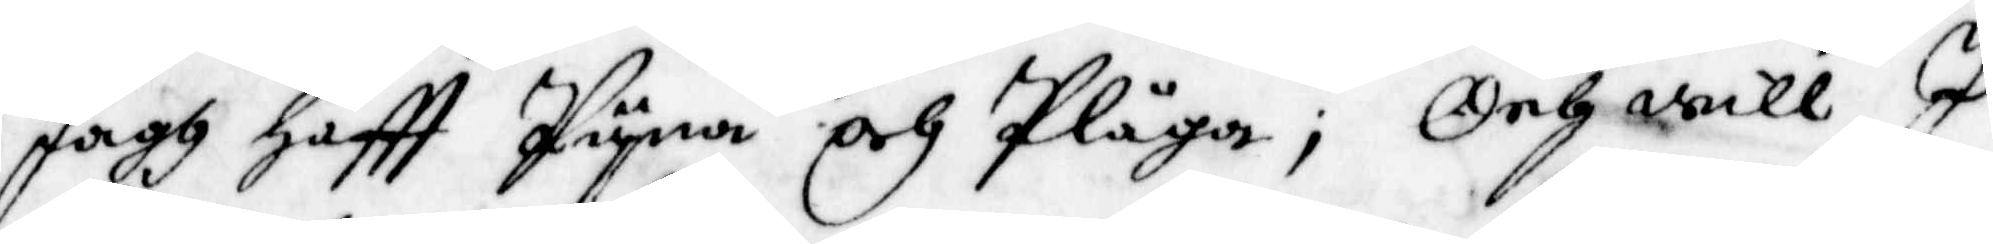Jagh Haftt Pyna och Plåga; Och will I
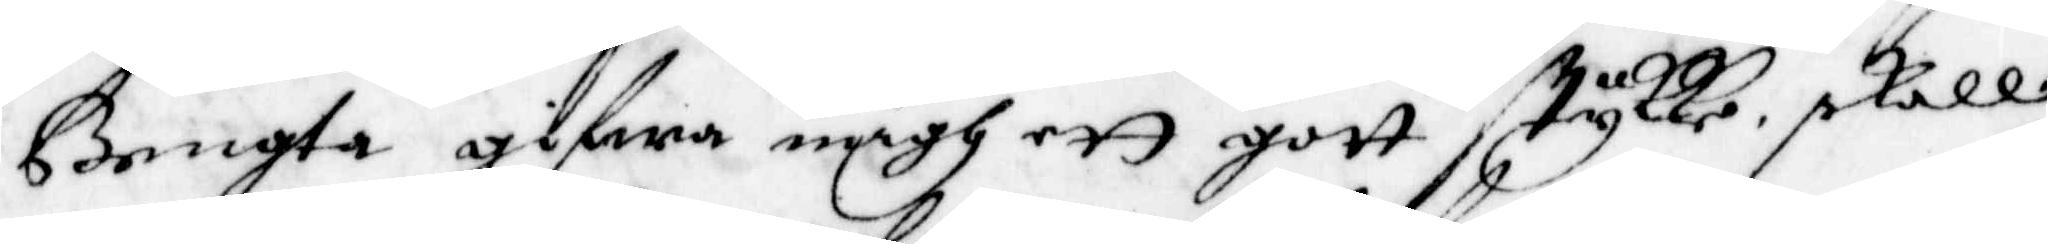Bengta gifwa migh ett gott stycke, skall
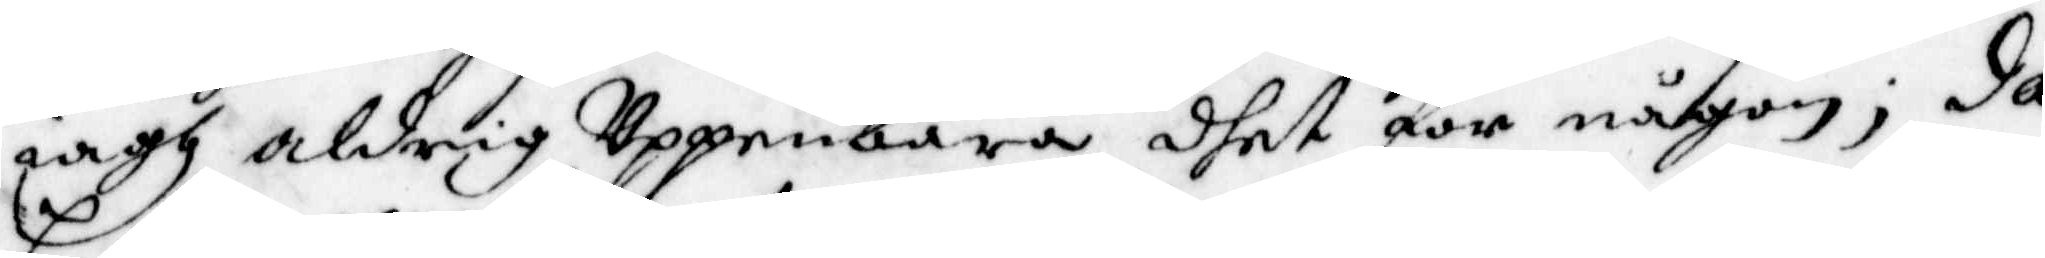iagh aldrig Uppenbara dhet för någon; da
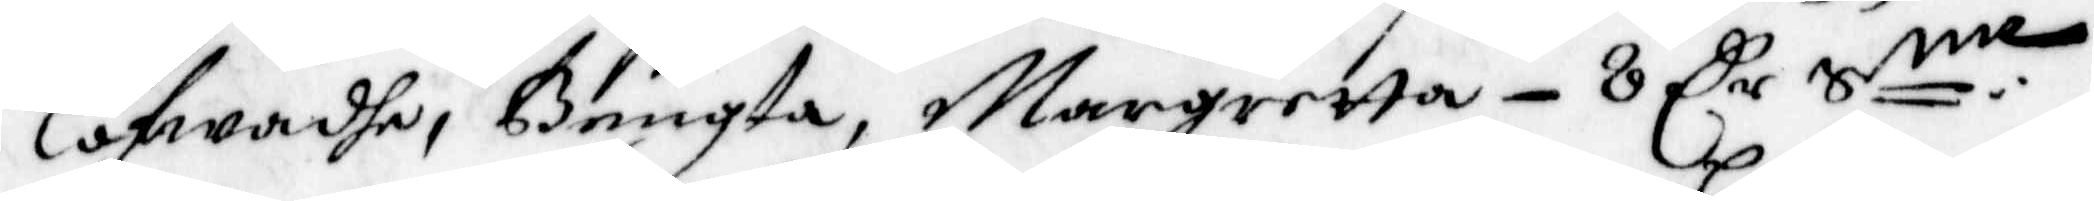Lofwadhe, Bengta, Margretta 8 Cr Smt.
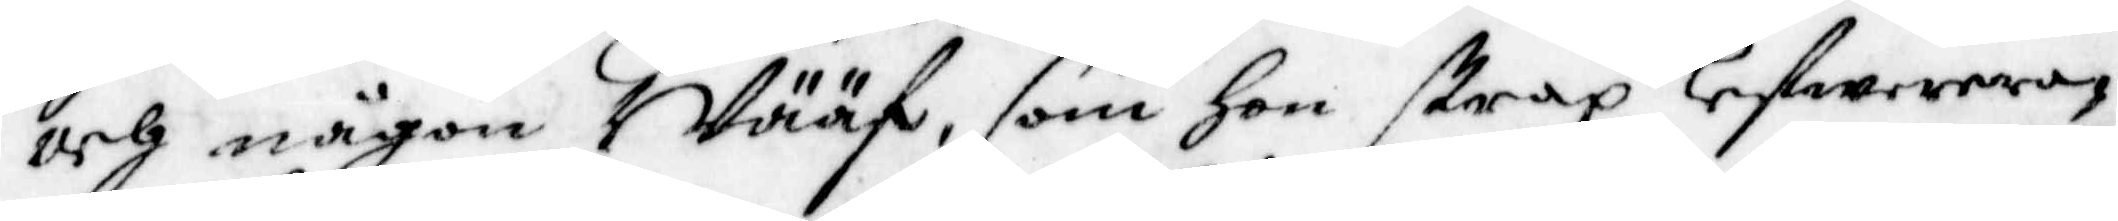och någon i Wääf, som Hon strax lefwerera¬
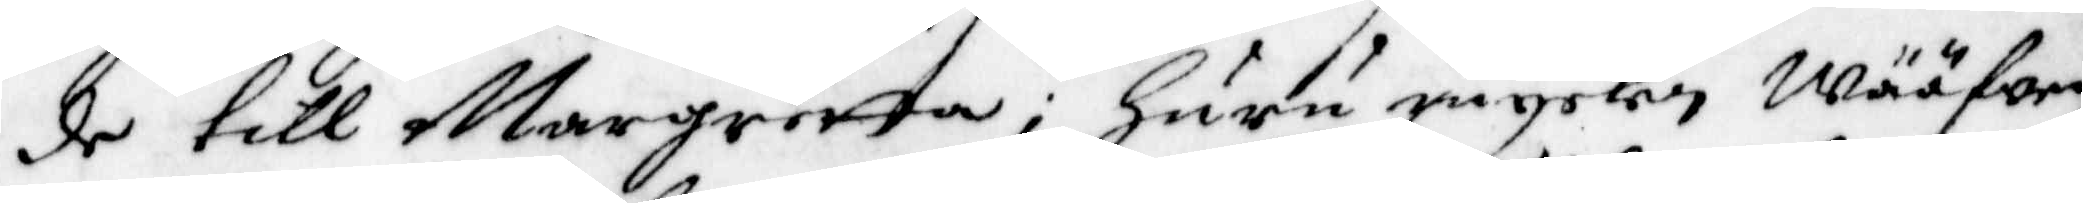de till Margretta, Huru mycken wääfwen
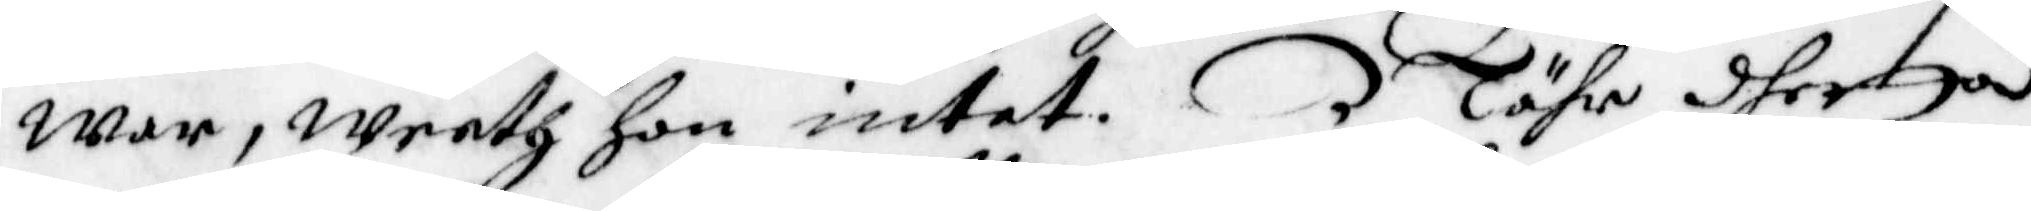war, weeth hon intet. Nähr dhetta
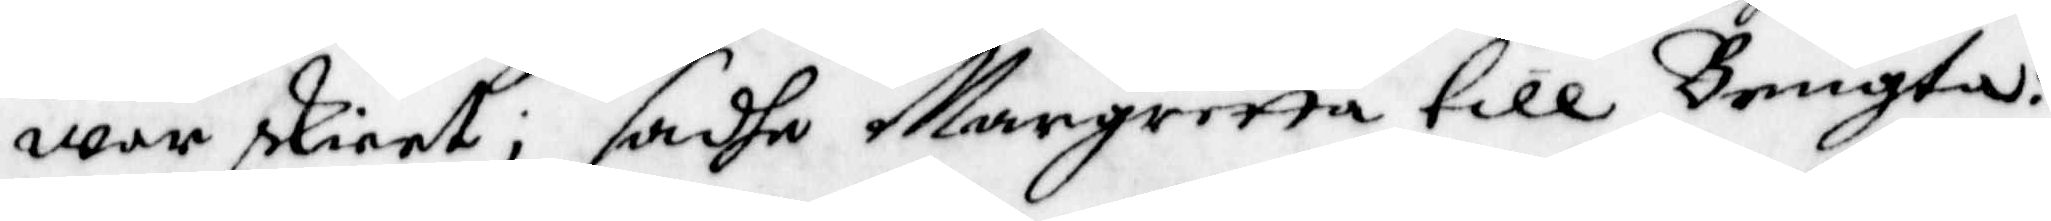war skieet; sadhe Margretta till Bengta:
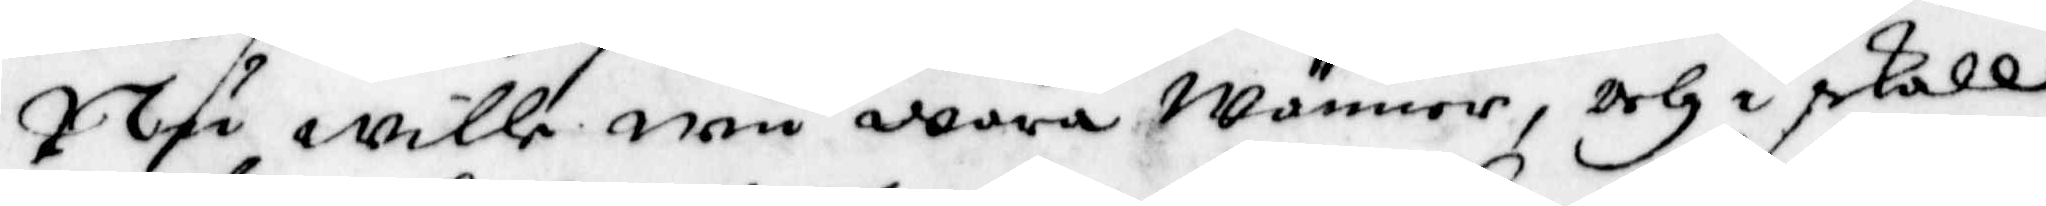Nu wille wii wara wänner, och i skall
